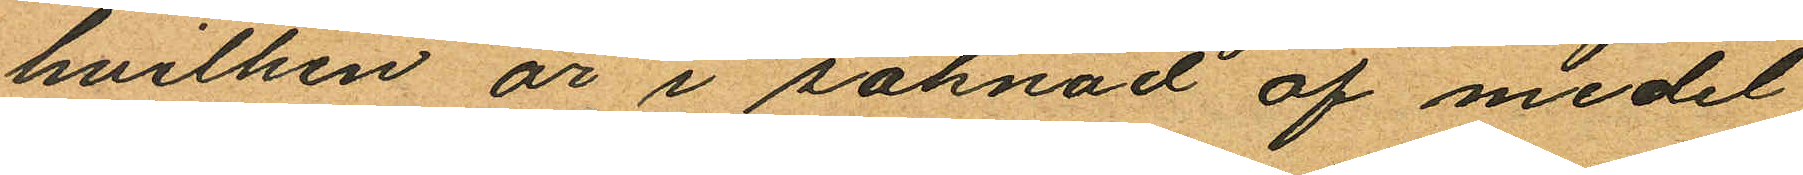hvilken är i saknad af medel
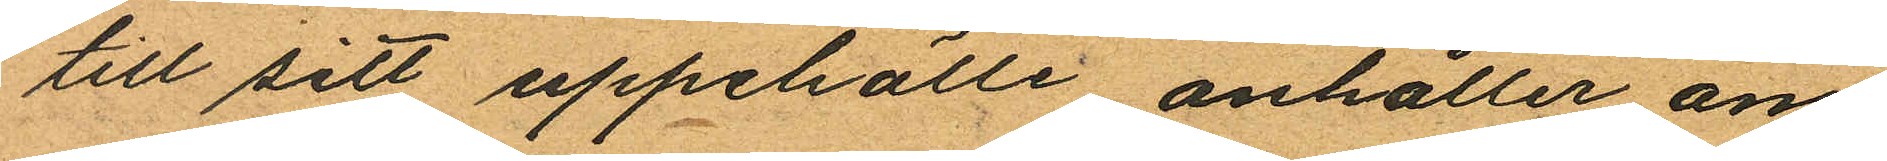till sitt uppehälle anhåller om
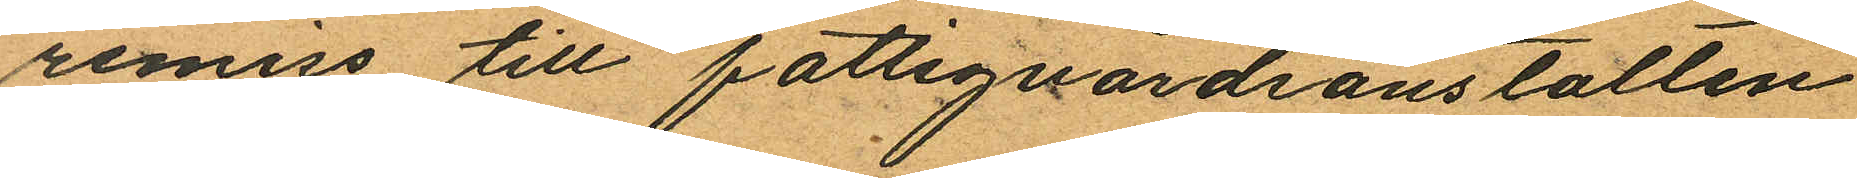remiss till fattigvårdanstalten
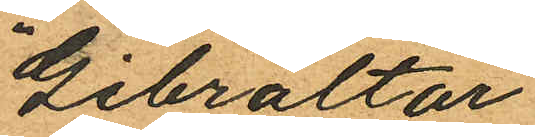"Gibraltar"
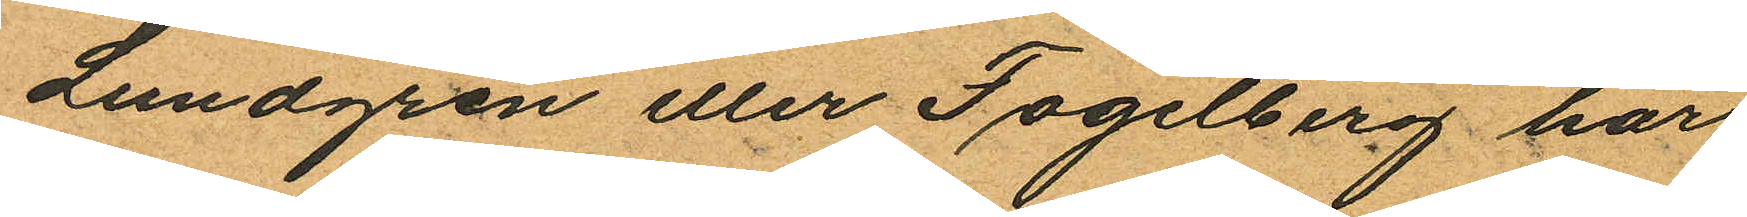Lundgren eller Fogelberg har
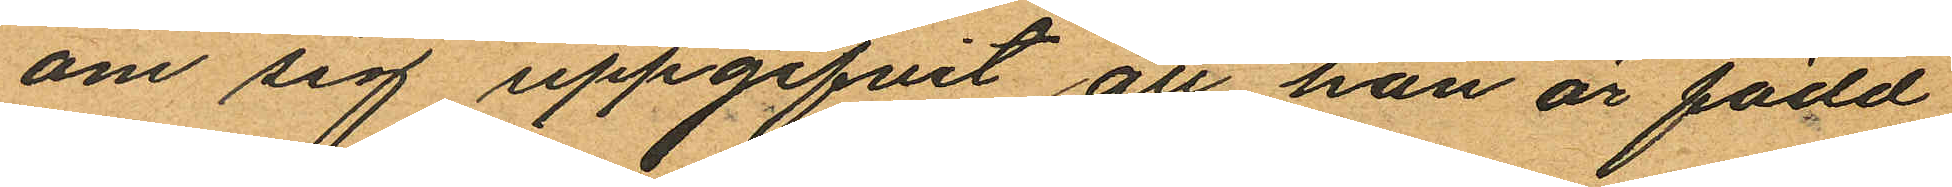om sig uppgifvit att han är född
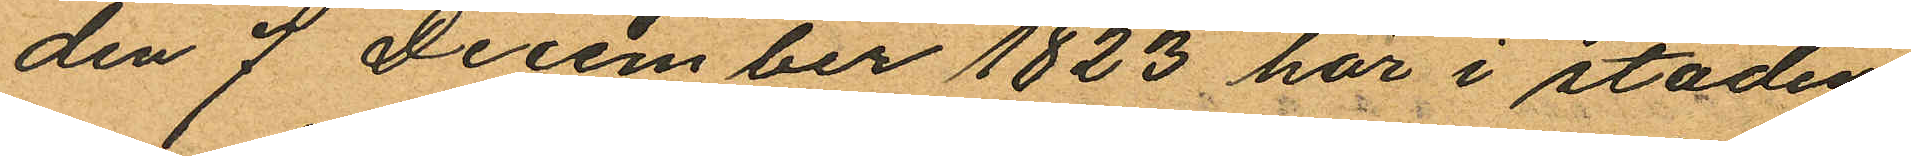den 7 December 1823 här i staden
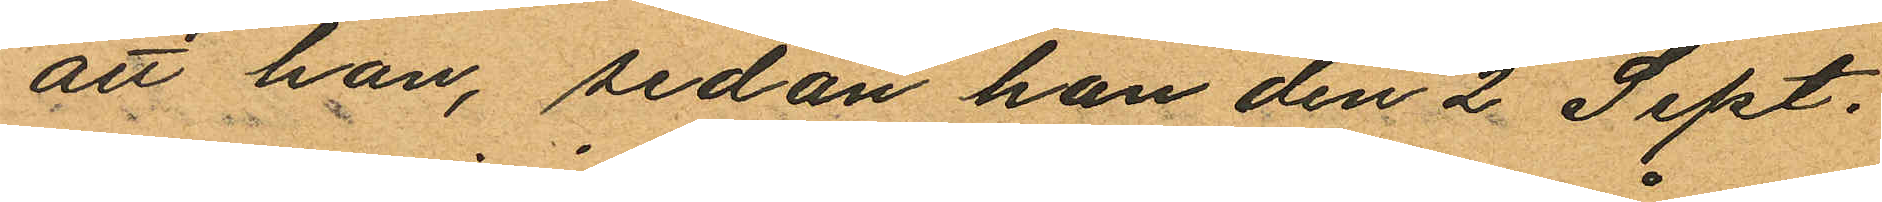att han, sedan han den 2 Sept.
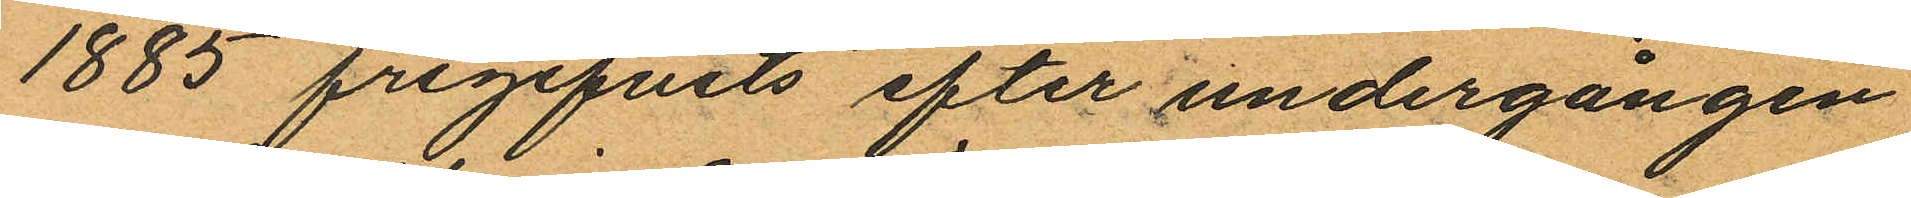1885 frigifvits efter undergången
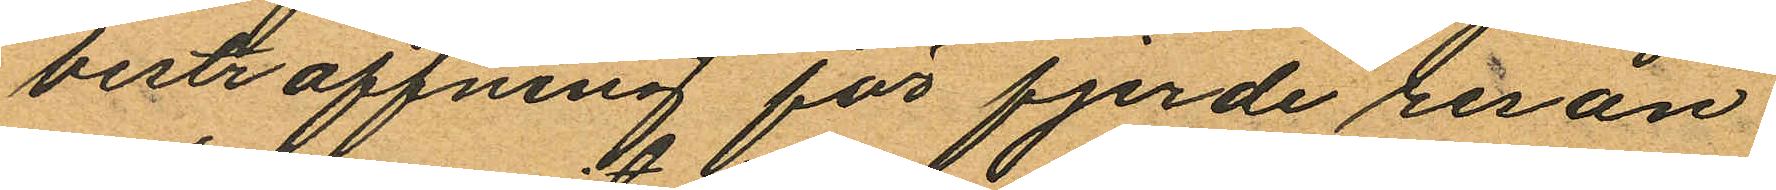bestraffning för fjerde resan
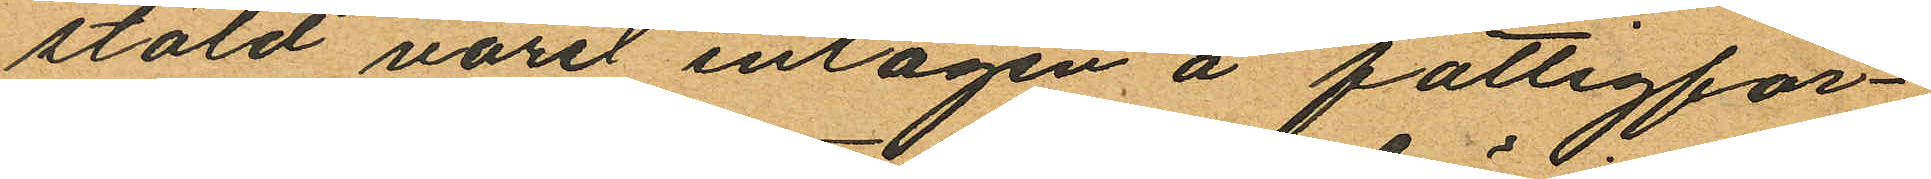stöld varit intagen å fattigför¬
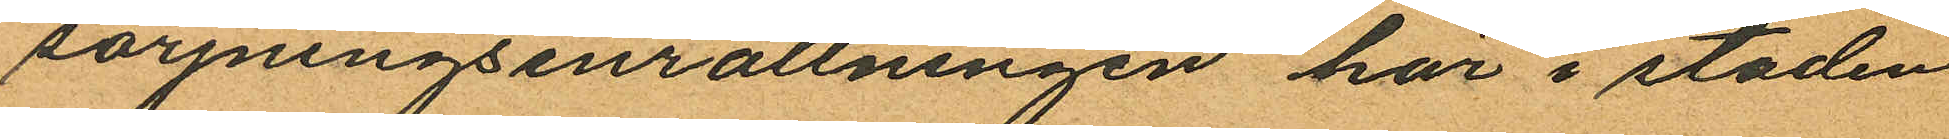sörjningsinrättningen här i staden
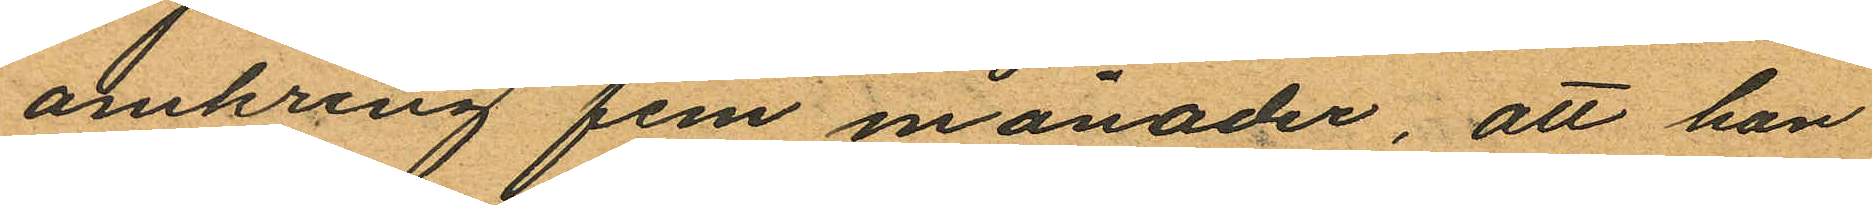omkring fem månader, att han
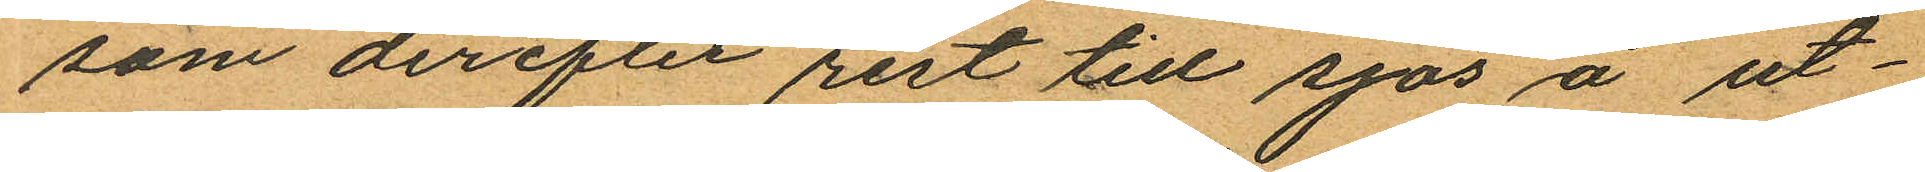som derefter rest till sjös å ut¬
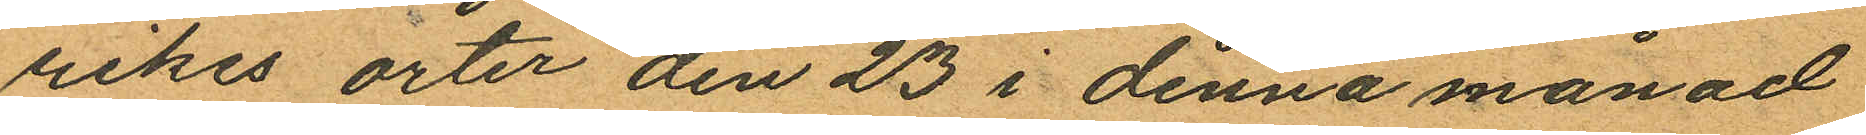rikes orter den 23 i denna månad
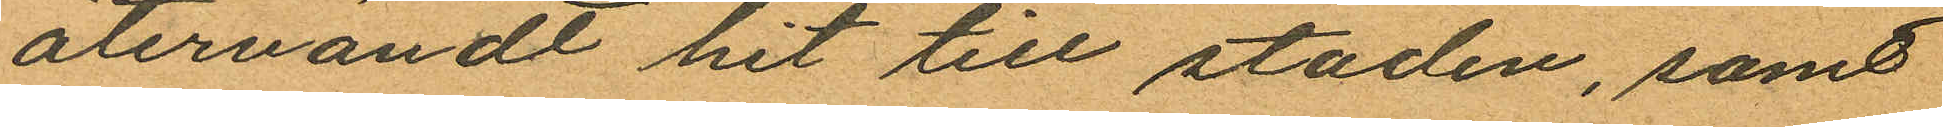återvändt hit till staden, samt
